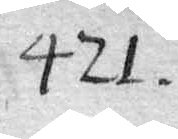421
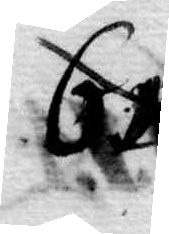615
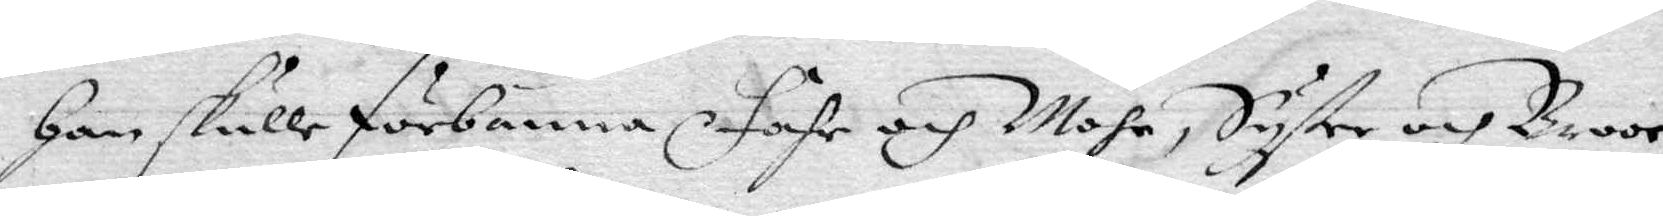Han skulle förbanna Fahr och Mohr, Syster och Broor
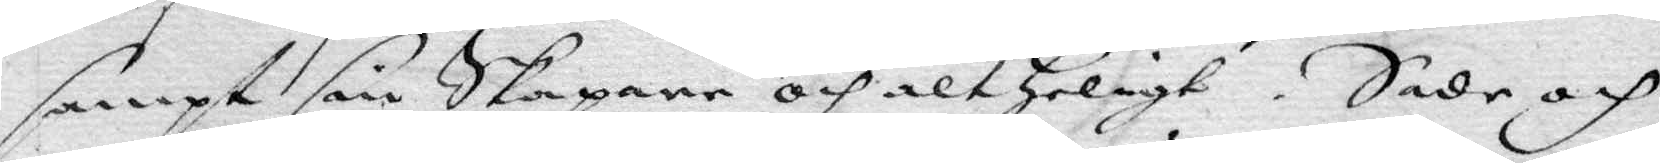sampt sin Skapare och alt Heligt. Sade och
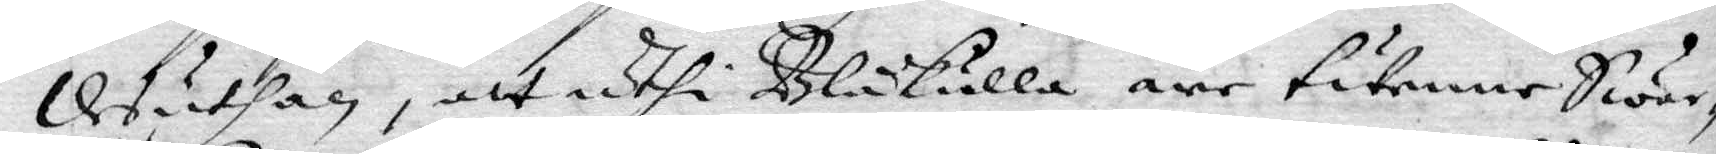Desuthan, att uthi Blåkulla äre twenne Swar¬
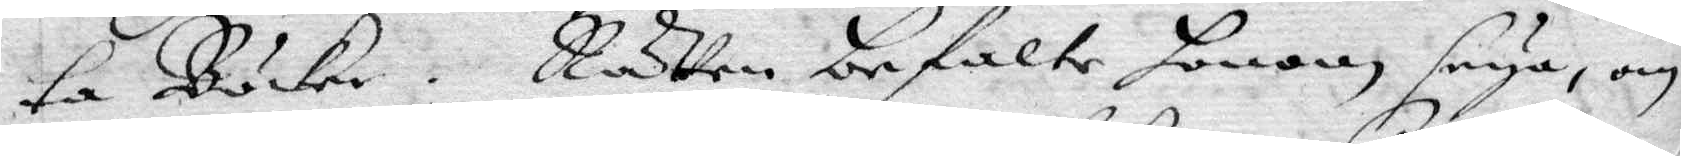ta Böcker. Rätten befalte honom, seya om
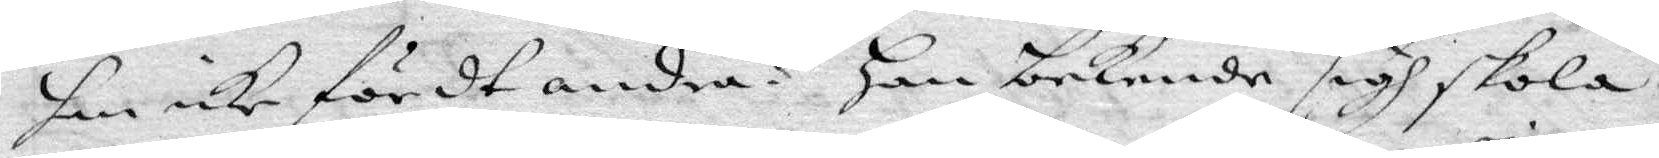han icke fördt andra? han bekende sigh skola
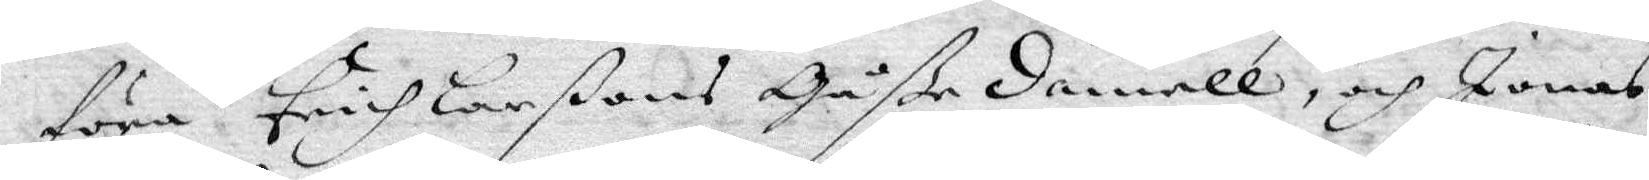föra Erich Larßons Gåße Daniell, och Jonas
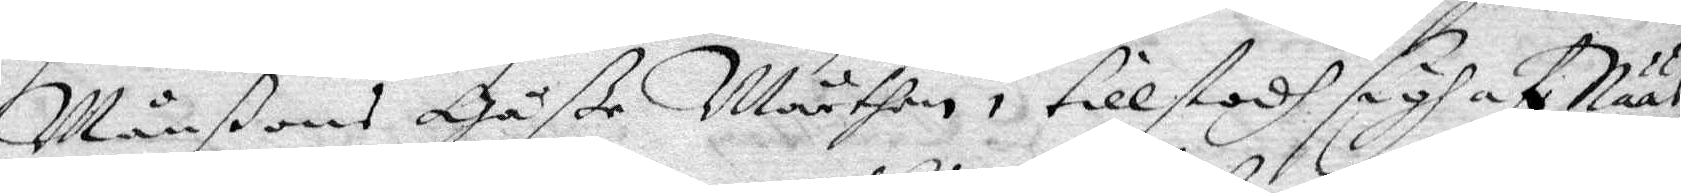Månßons Gåße Mårthen, tillstodh sigh af Nääs¬
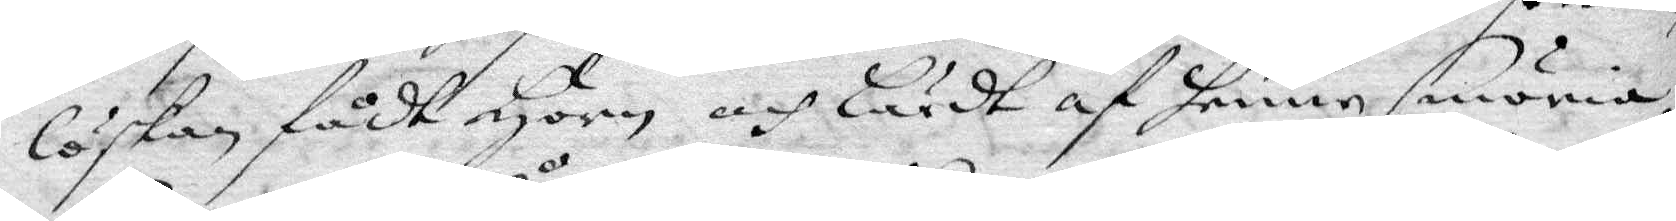löskan fådt Horn och lärdt af henne smöria,
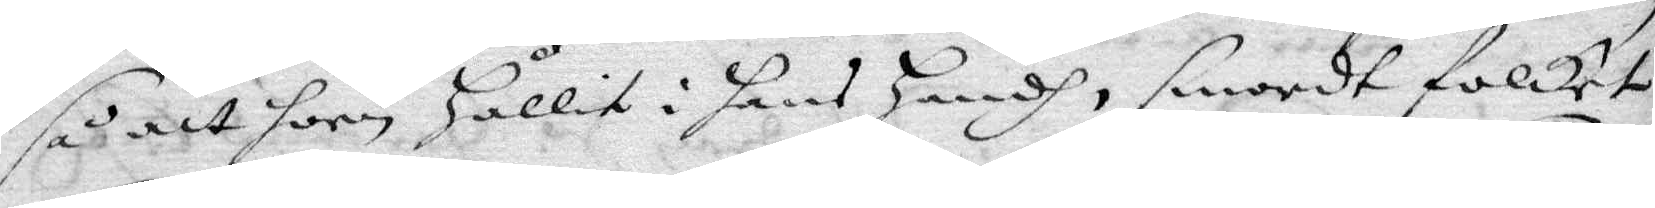så att hon hållit i hans handh, smort folket
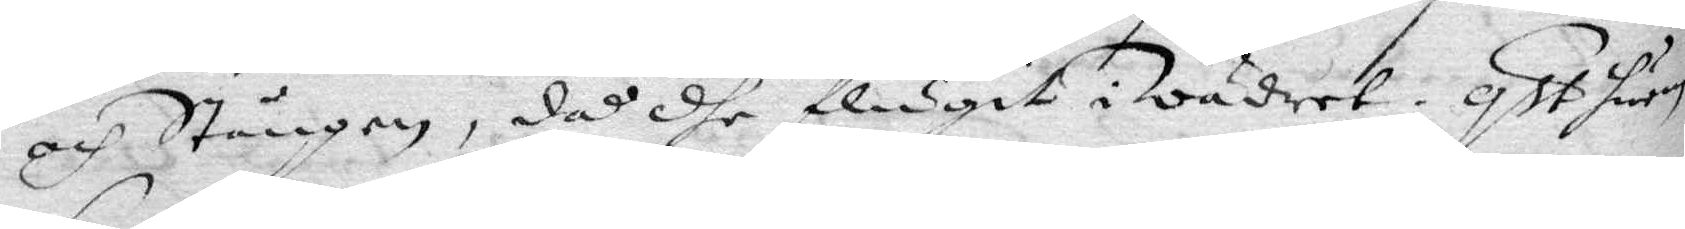och Stången, då dhe flugit i Wädret. qst hwem
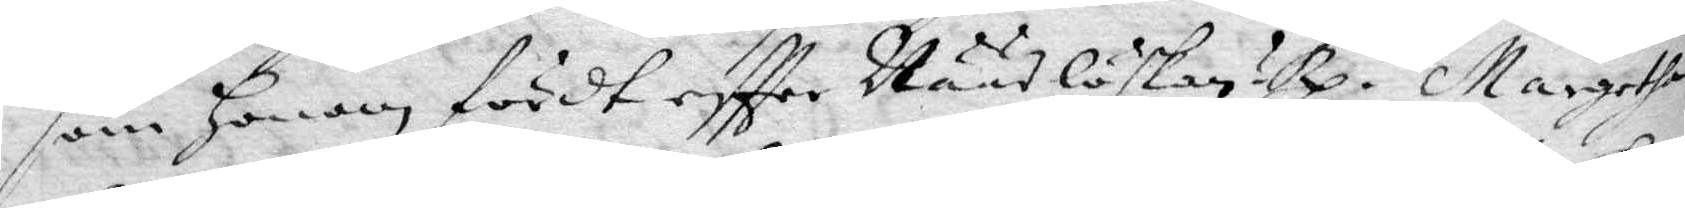som honom fördt eftter Nääslöskan? Rp. Margetha
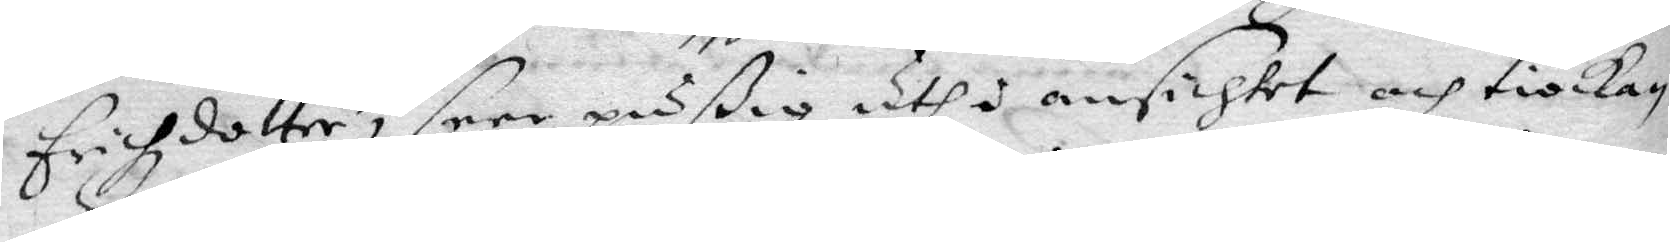erichzdotteer, seer pußig uth i ansichtet och tiocka¬
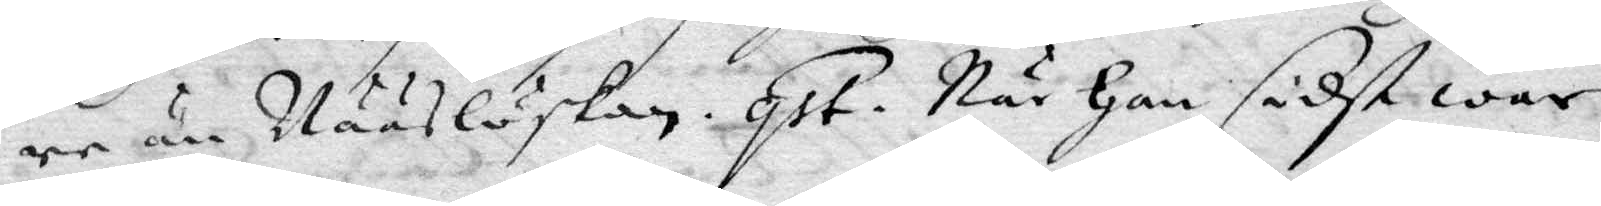re än Nääslöskan. qst. När han sidst war
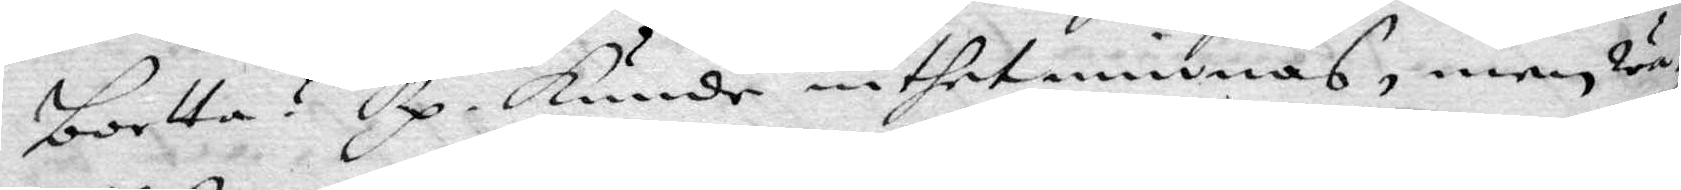bortta? Rp. Kunde inthet minnas, men wa¬
